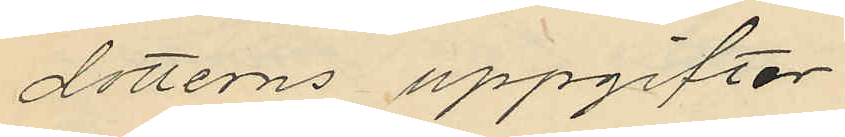dotterns uppgifter
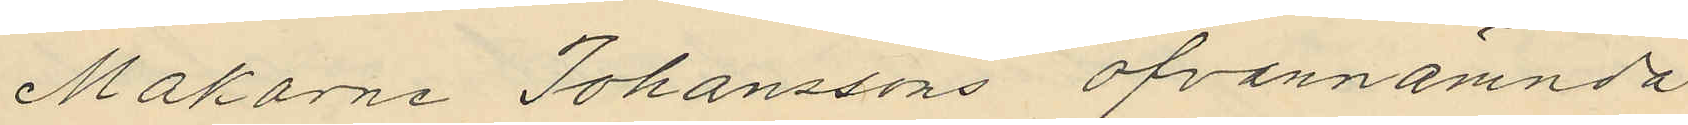Makarna Johanssons ofvannämnda
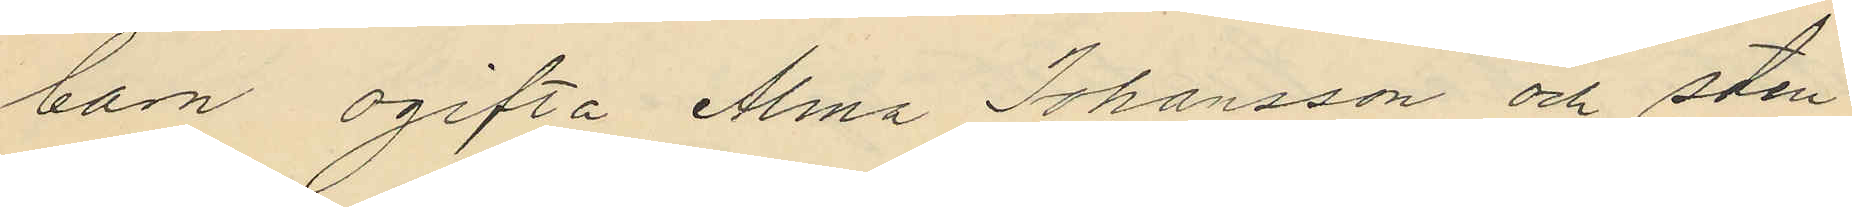barn ogifta Alma Johansson och sten
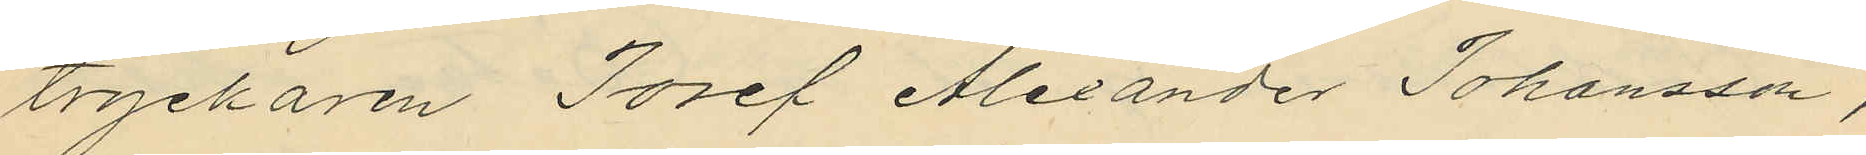tryckaren Josef Alexander Johansson,
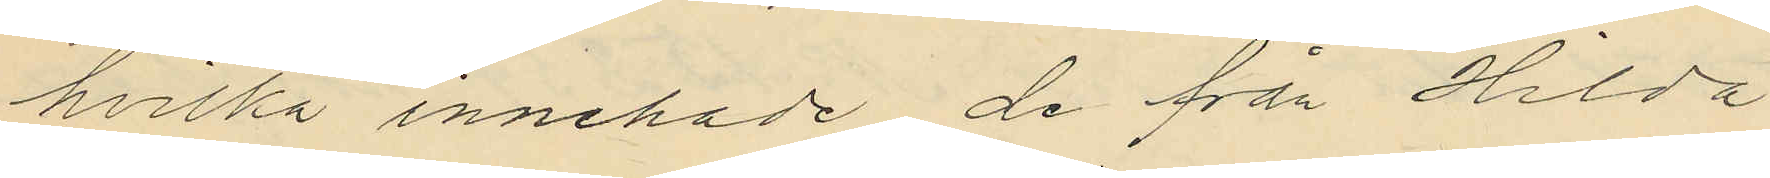hvilka innehade de från Hilda
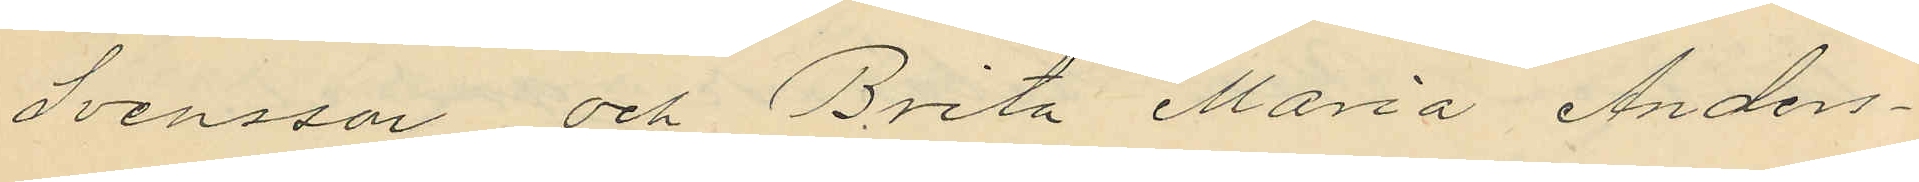Svensson och Brita Maria Anders¬
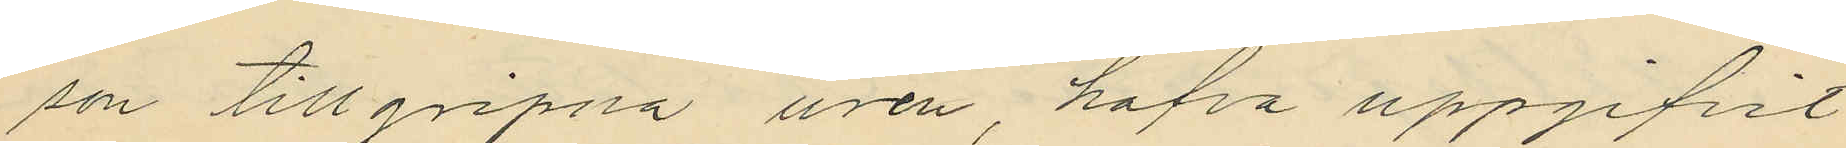son tillgripna uren, hafva uppgifvit
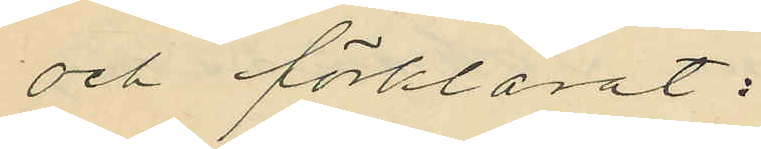och förklarat:
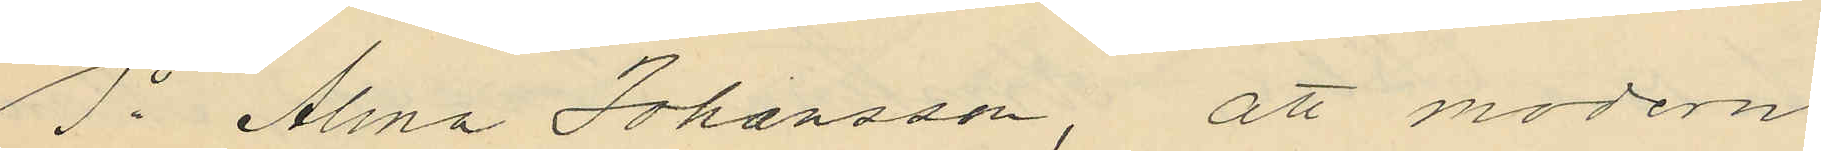1o Alma Johansson, att modern
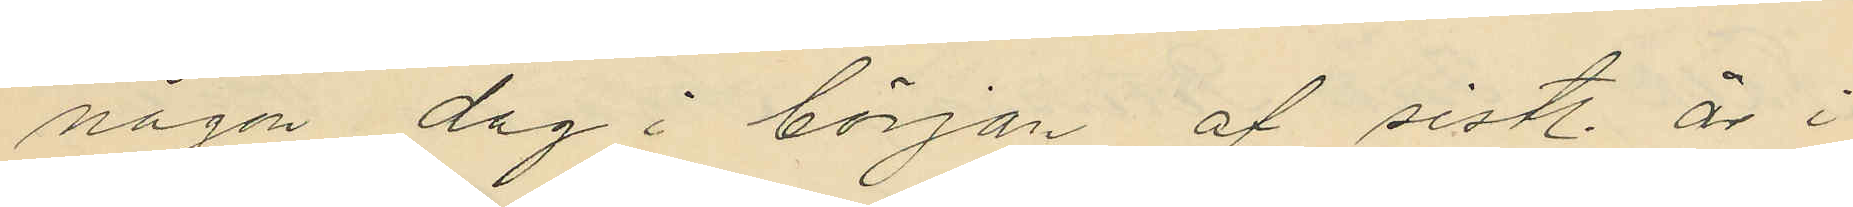någon dag i början af sistl. år i
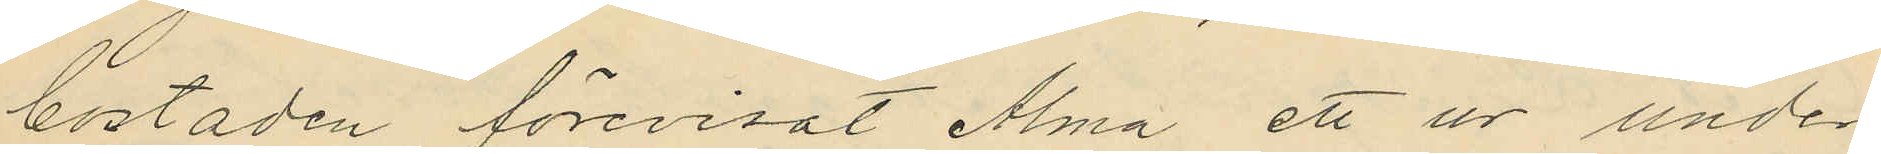bostaden förevisat Alma ett ur under
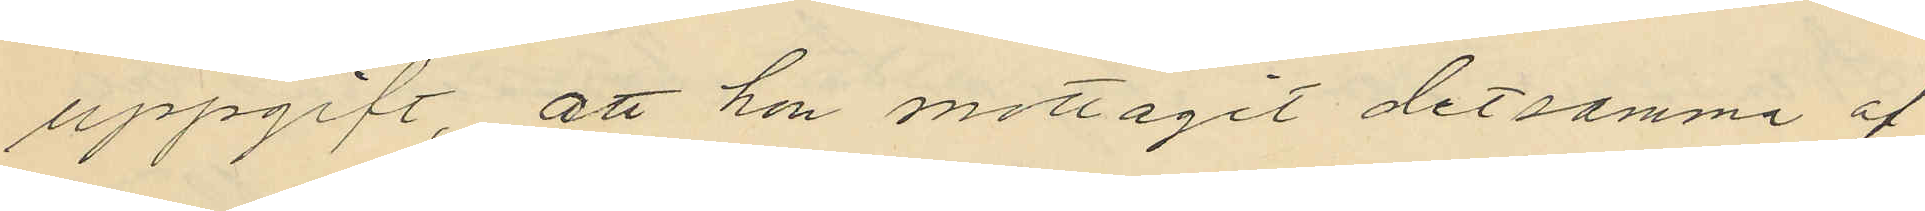uppgift, att hon mottagit det samma af
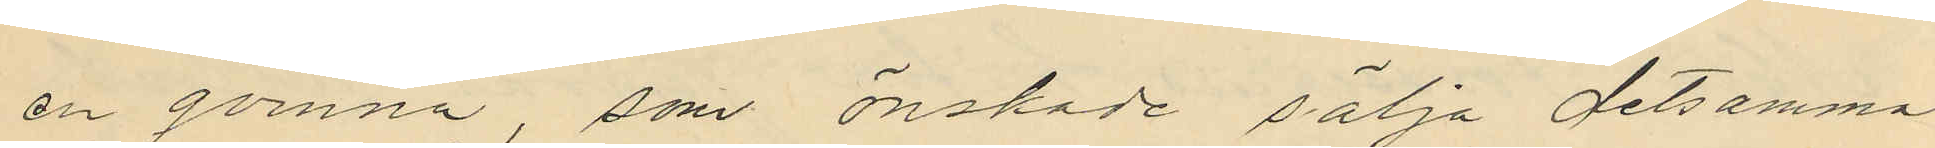en qvinna, som önskade sälja detsamma
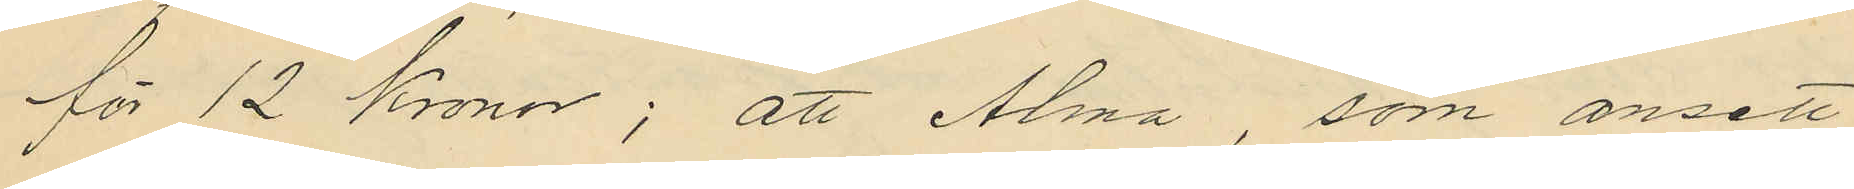för 12 Kronor; att Alma som ansett
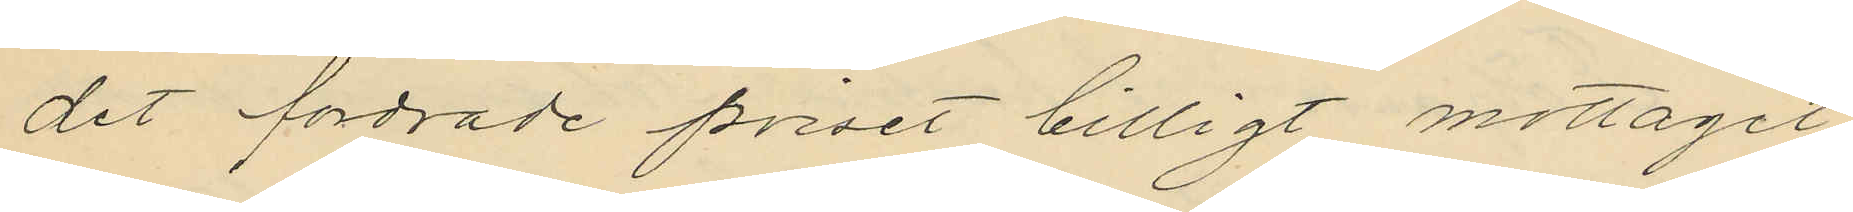det fordrade priset billigt mottagit
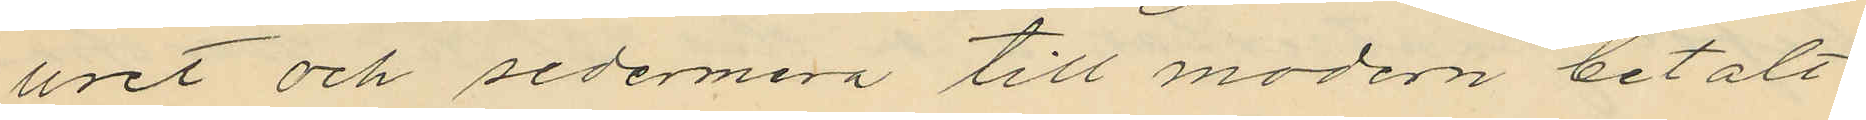uret och sedermera till modern betalt
